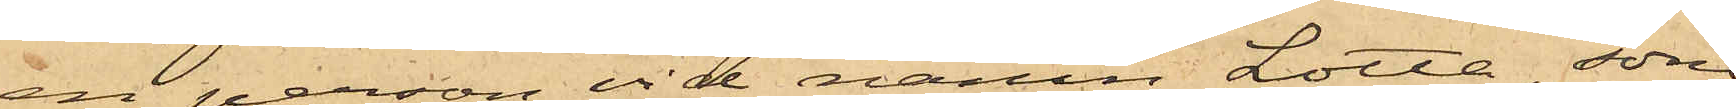en person vid namn Lotta, som
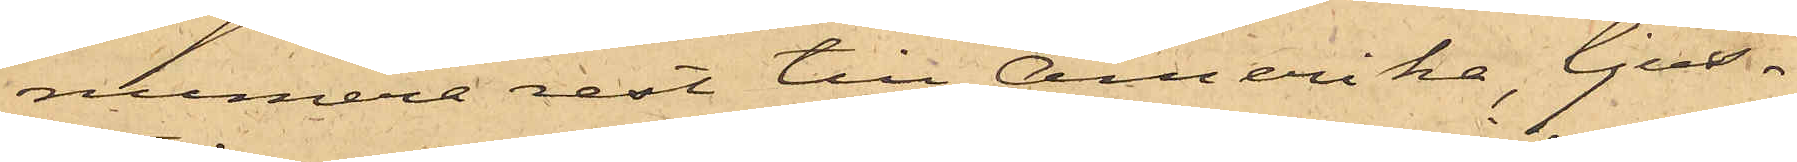numera rest till Amerika, ljus¬
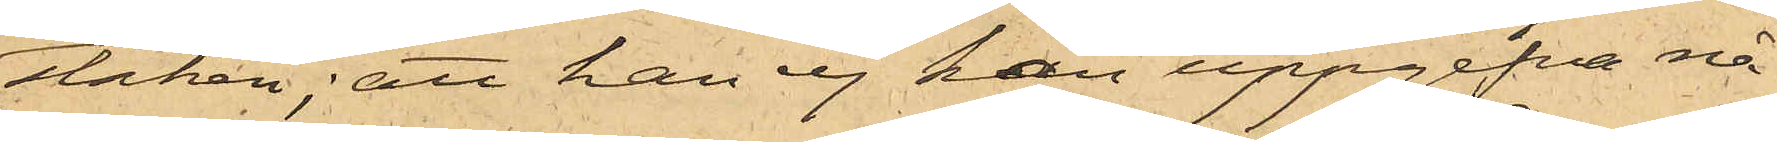staken; att han ej kan uppgifva nå¬
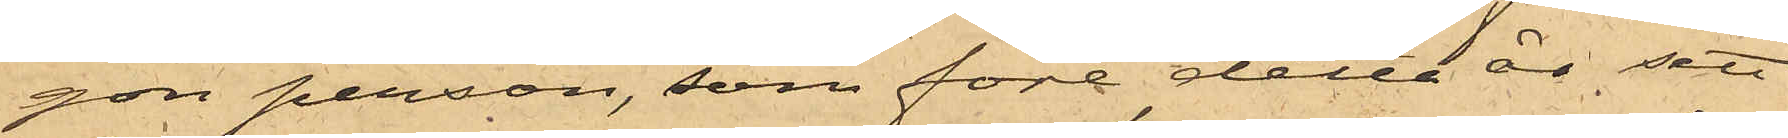gon person, som före detta år sett
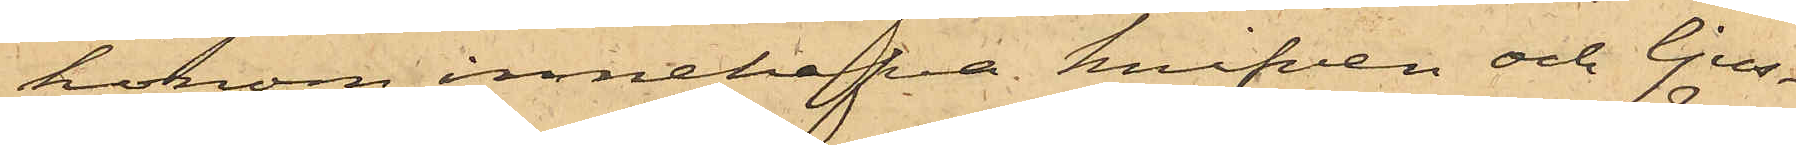honom innehafva knifven och ljus¬
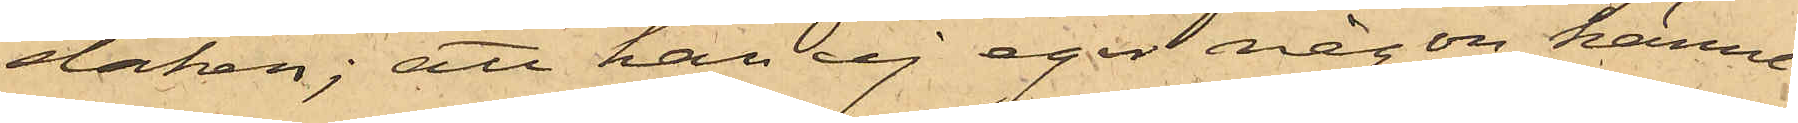staken; att han ej eger någon känne¬
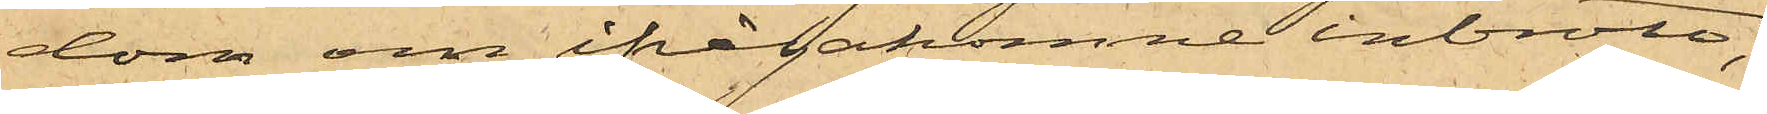dom om ifrågakomne inbrott;
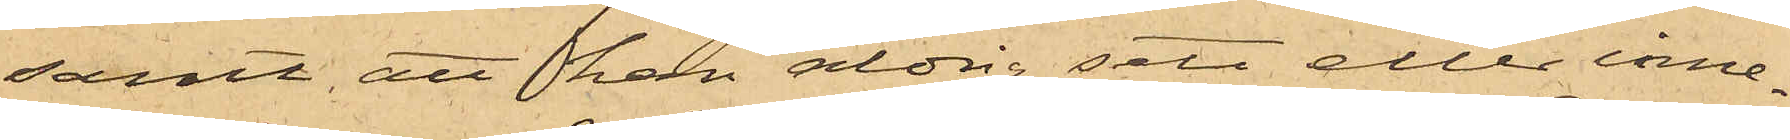samt att han aldrig sett eller inne¬
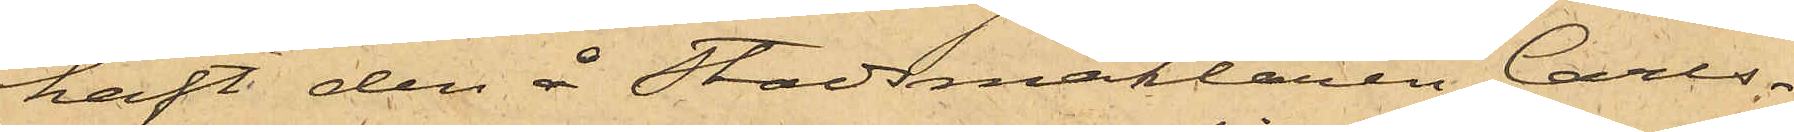haft den å Stadsmäklaren Carls¬
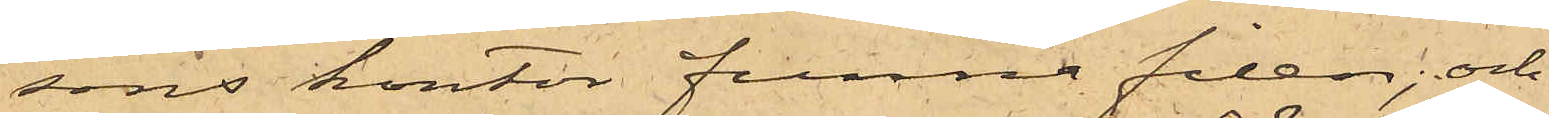sons kontor funne filen; och
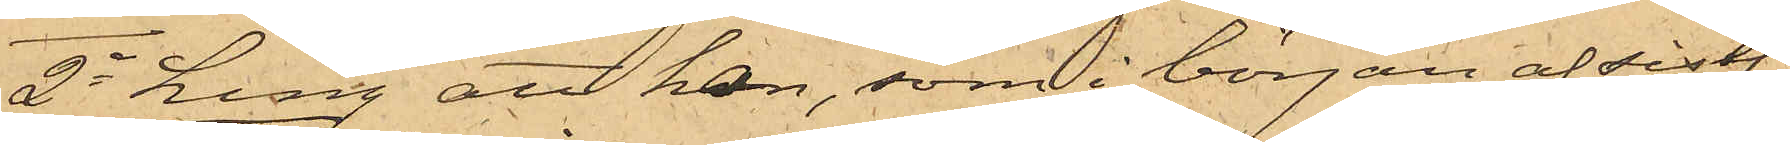2o Ling att han, som i början af sistl.
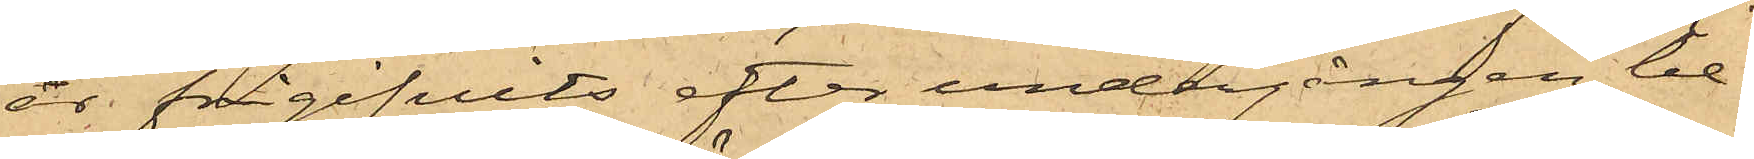år frigifvits efter undergången be¬
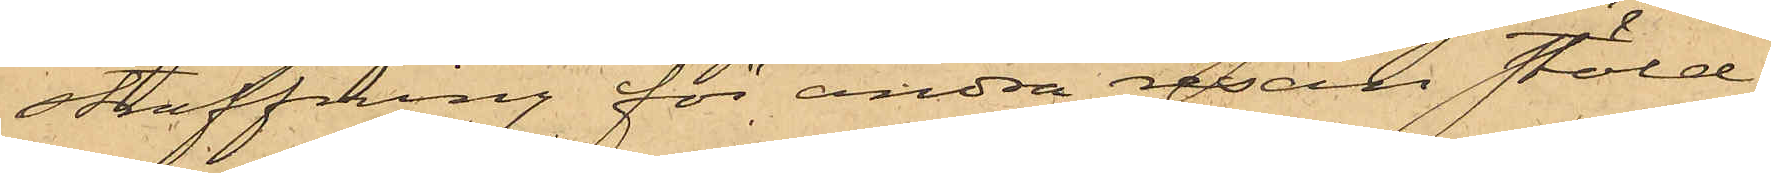straffning för andra resan stöld;
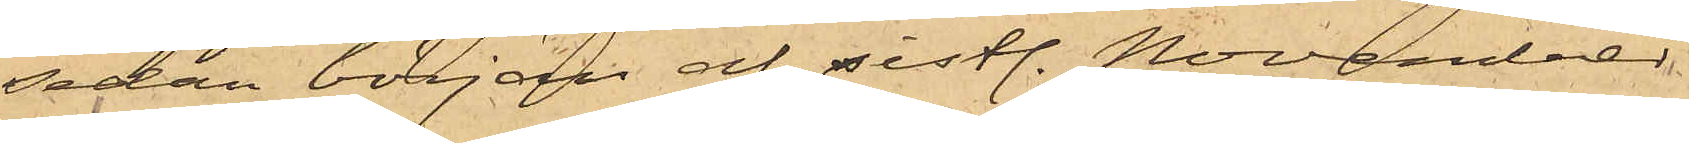sedan början af sistl. November
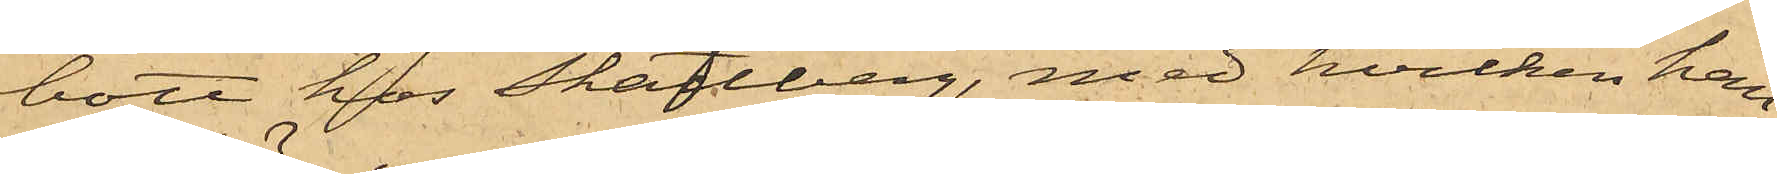bott hos Skattberg, med hvilken han
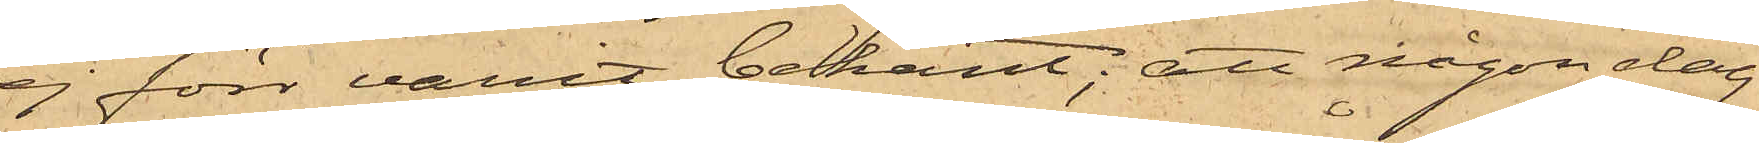ej förr varit bekant; att någon dag
